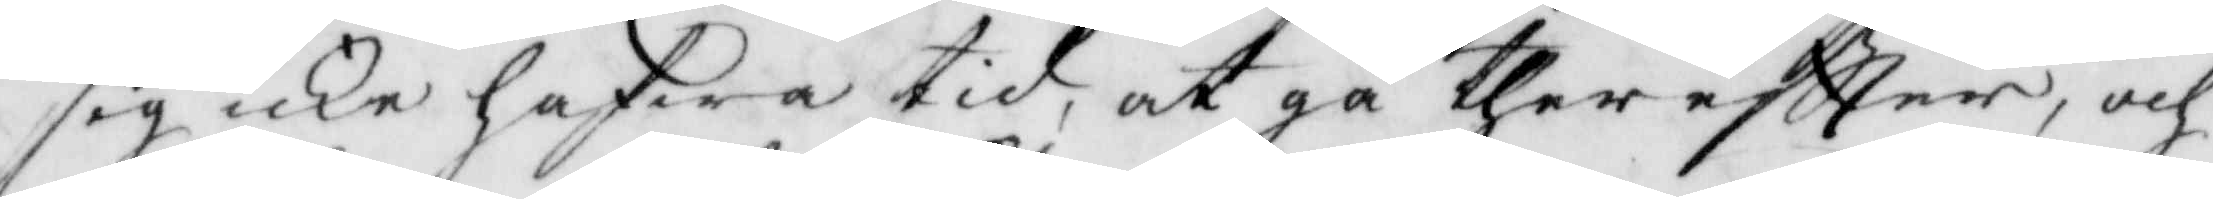sig icke hafwa tid, at gå ther eftter, och
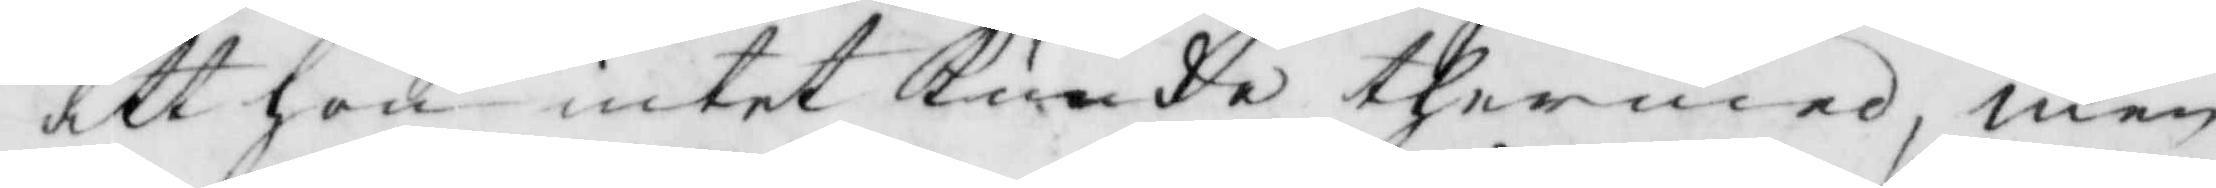att hon intet Kunde thermed, men
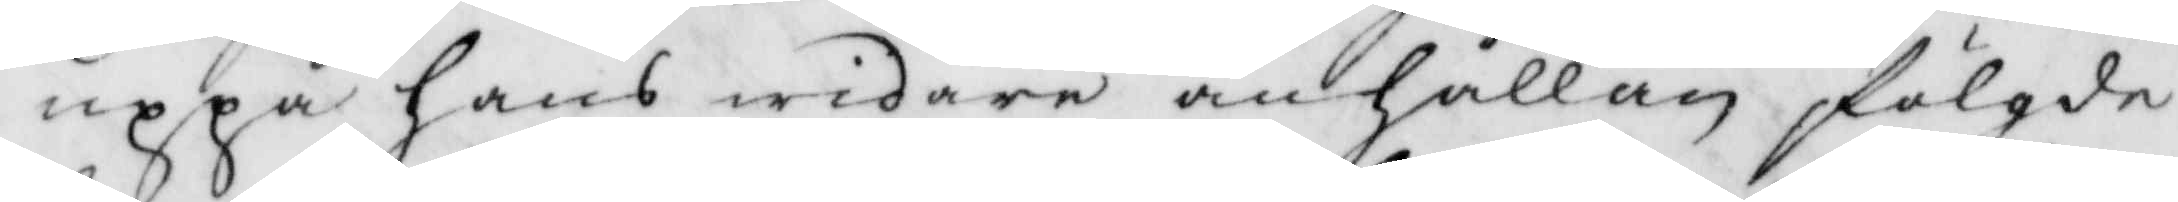uppå hans widare anhållan fölgde
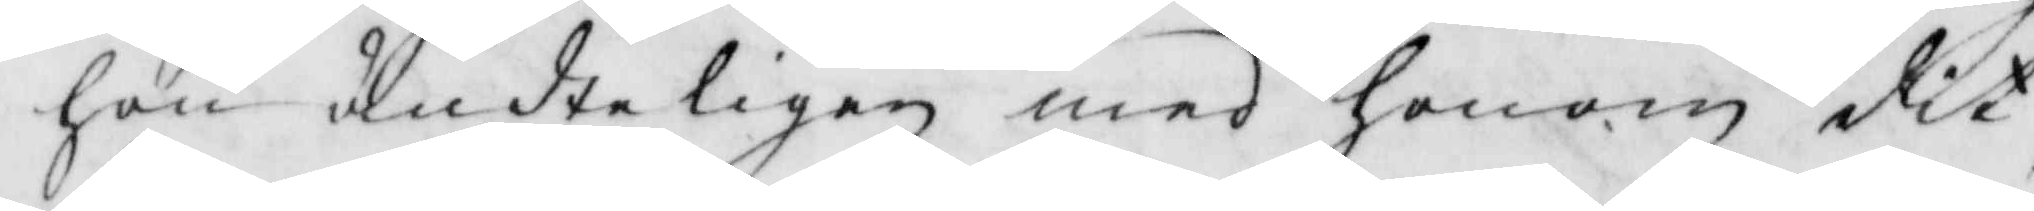hon ändteligen med honom dit,
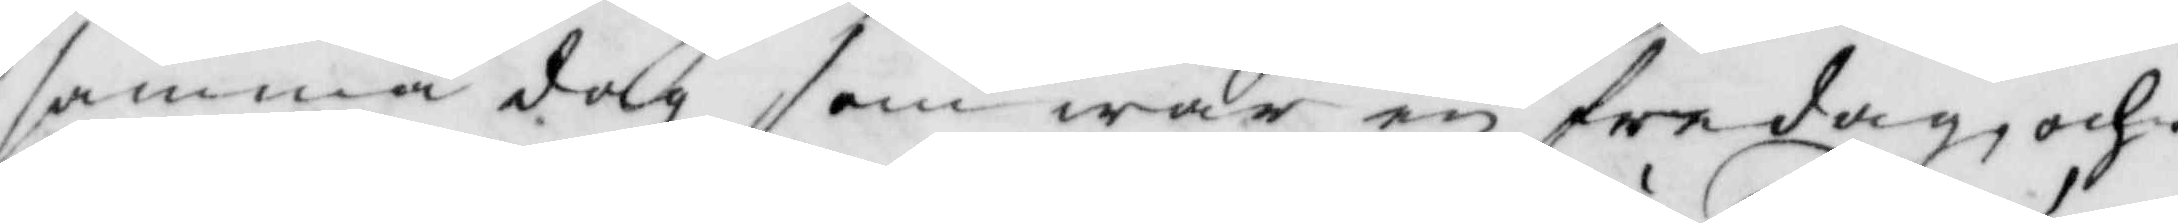samma dag som war en fredag, och
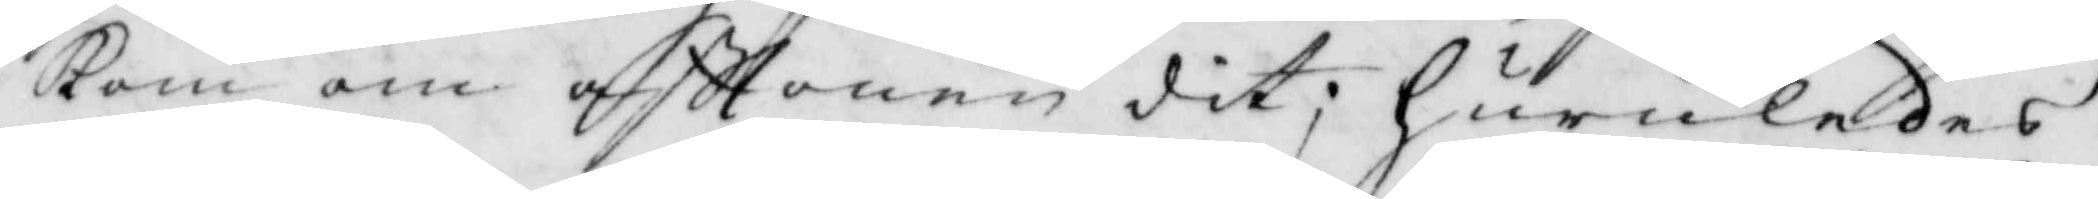kom om afttonen dit; huruledes
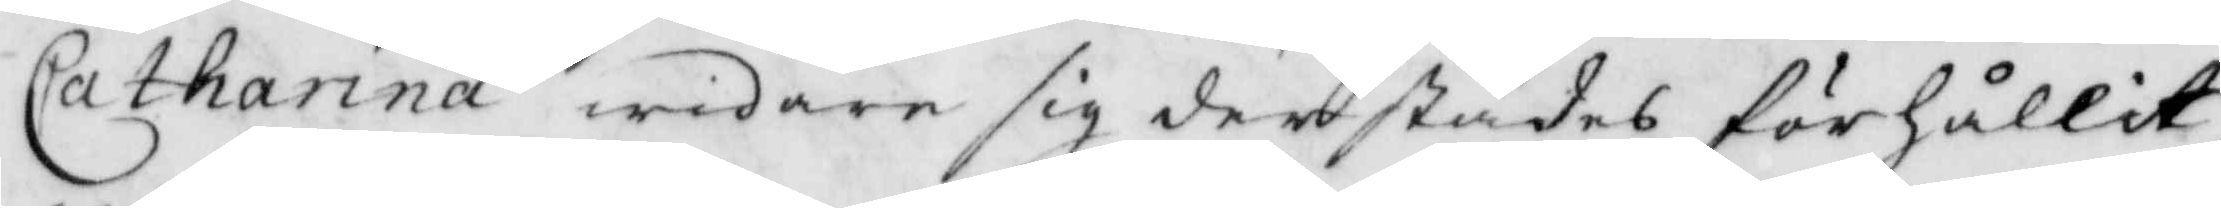Catharina widare sig derstädes förhållit,
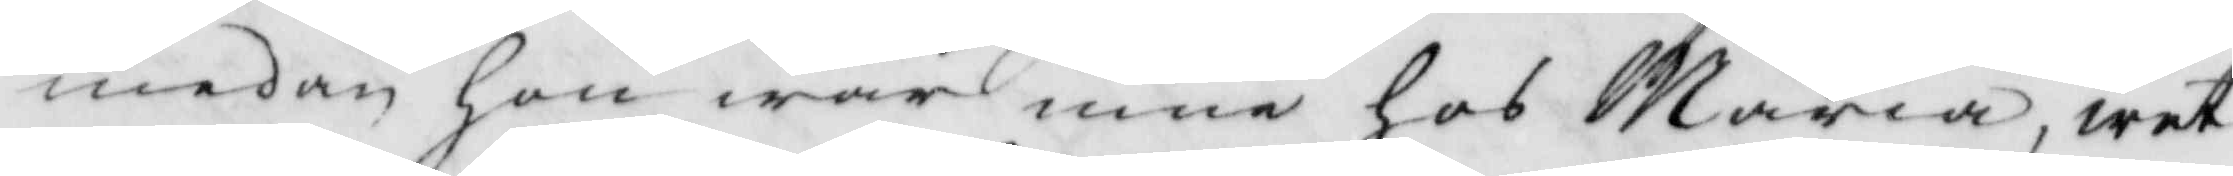medan hon war inne hos maria, wet
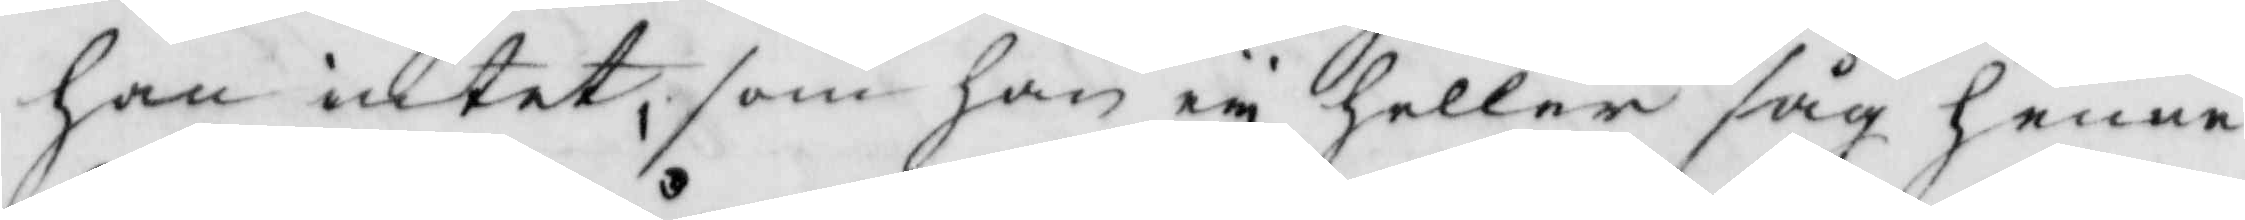han intet, som han ey heller såg henne
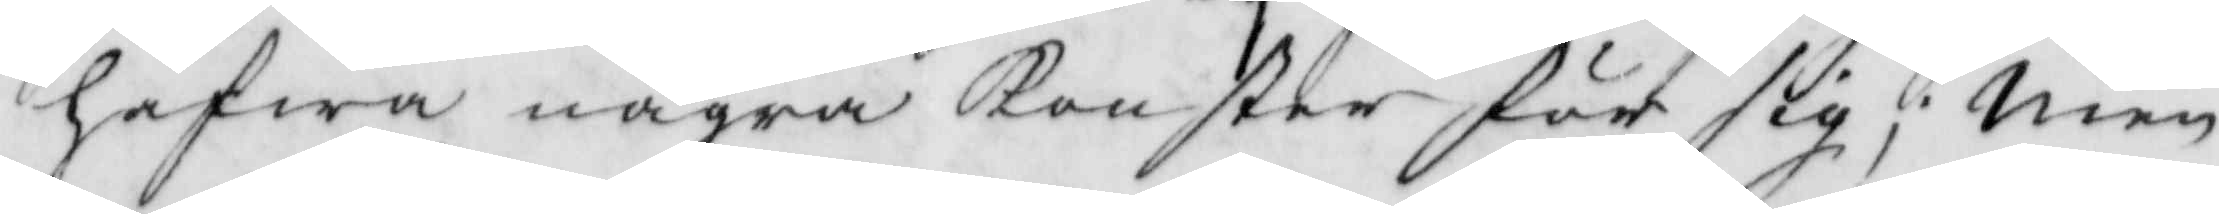hafwa några konster för sig; men
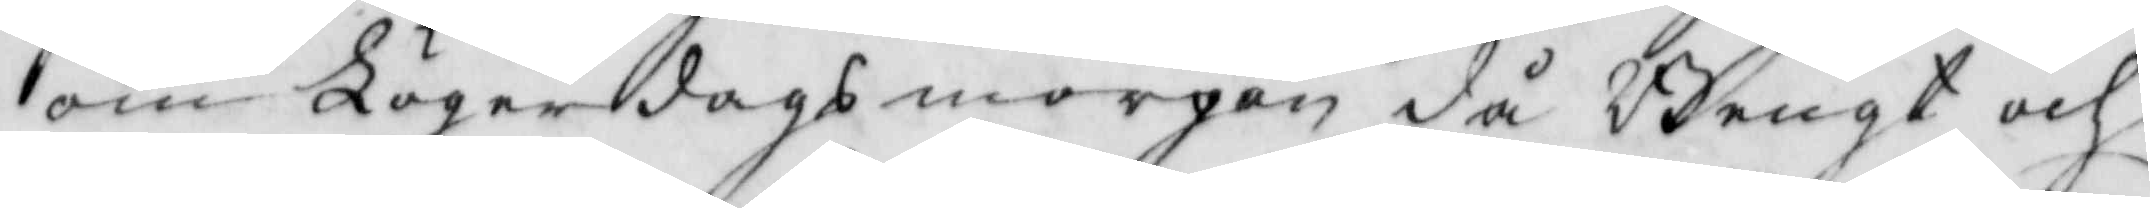om Lögerdagsmorgon då Bengt och
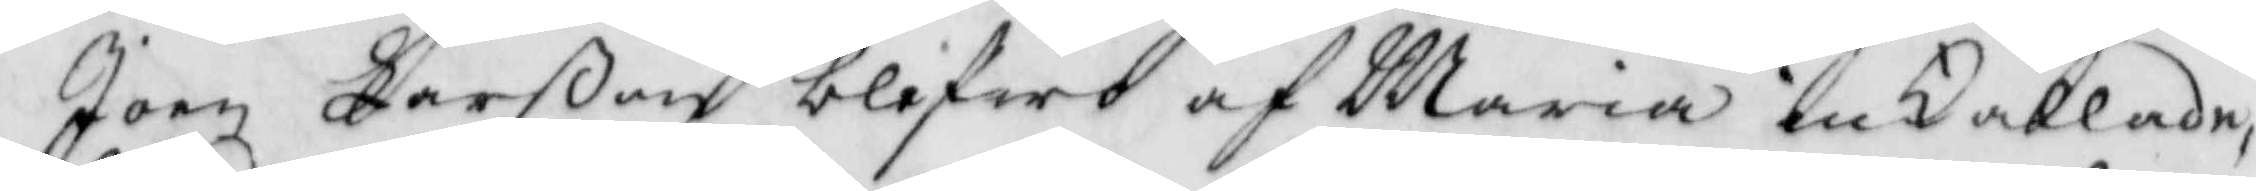Joen Larßon blefwo af Maria inkallade
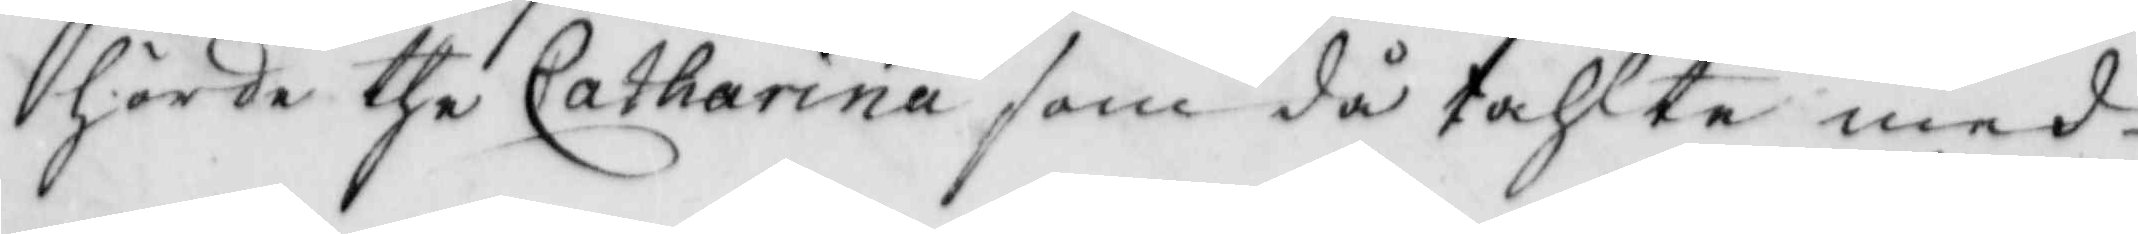hörde the Catharina som då tahlte med
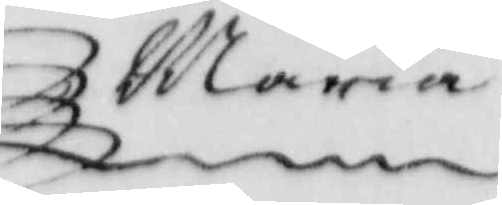Maria
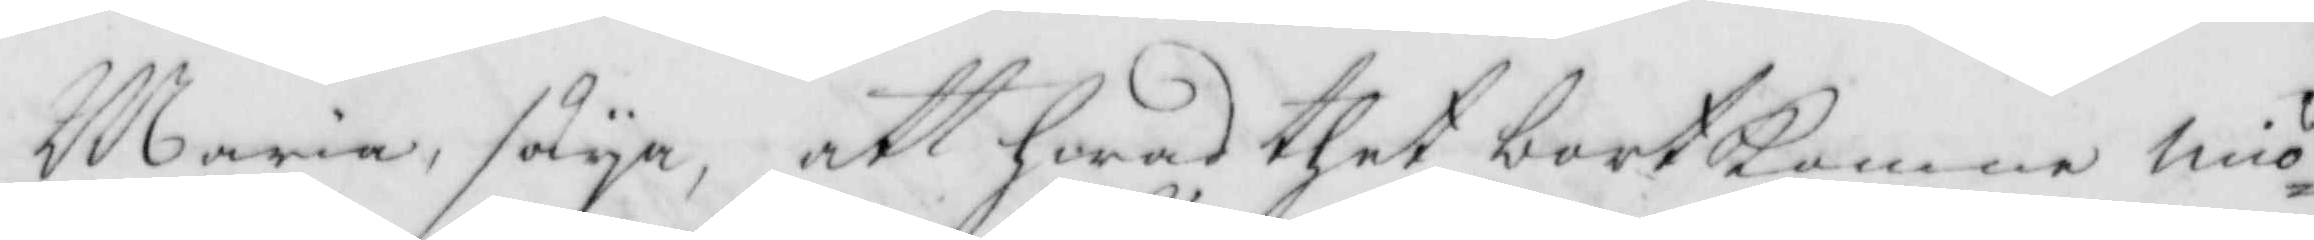Maria, säya, att hwad thet bortkomne miö¬
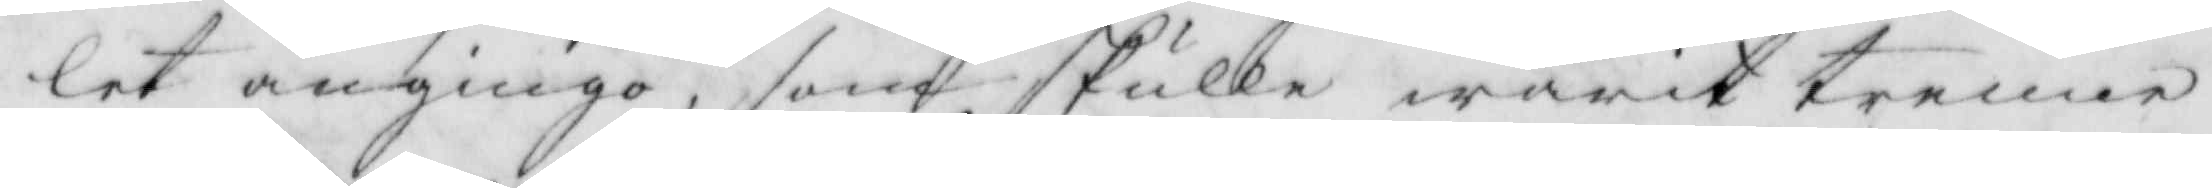let angingo, som skulle warit trenne
